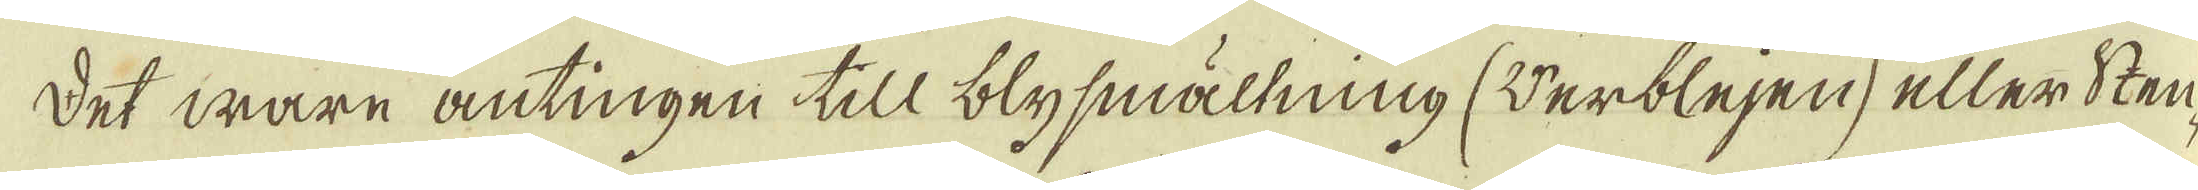Det ware antingen till blysmältning (Verblejen, eller Sten-
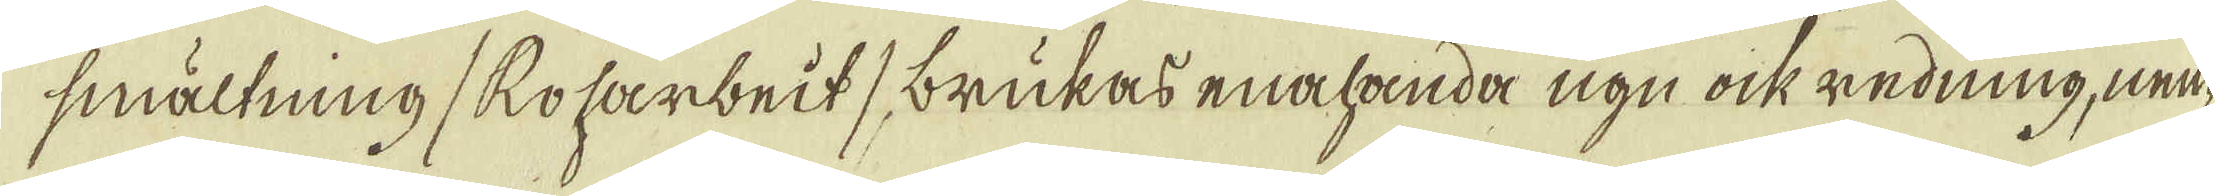smältning /Roharbeit / brukas enahanda ugn ock redning, nem-
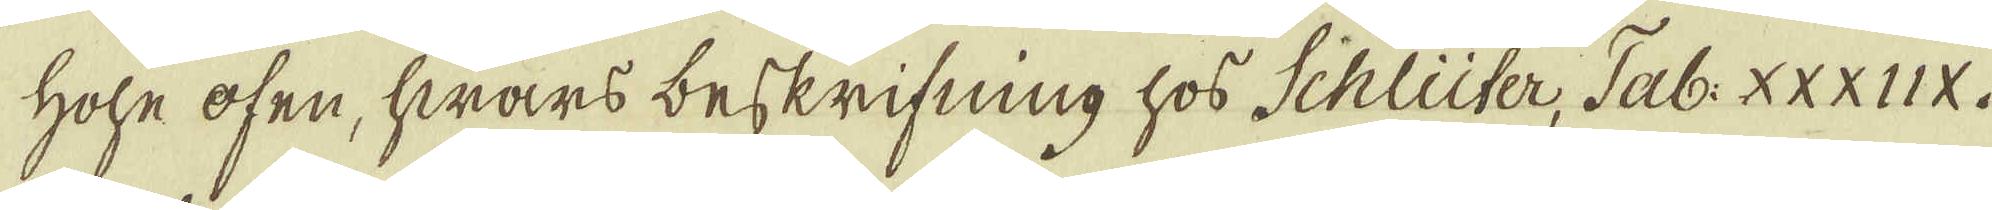hohe ofen, hwars beskrifning hos Schlüter, Tab: XXXIIX.
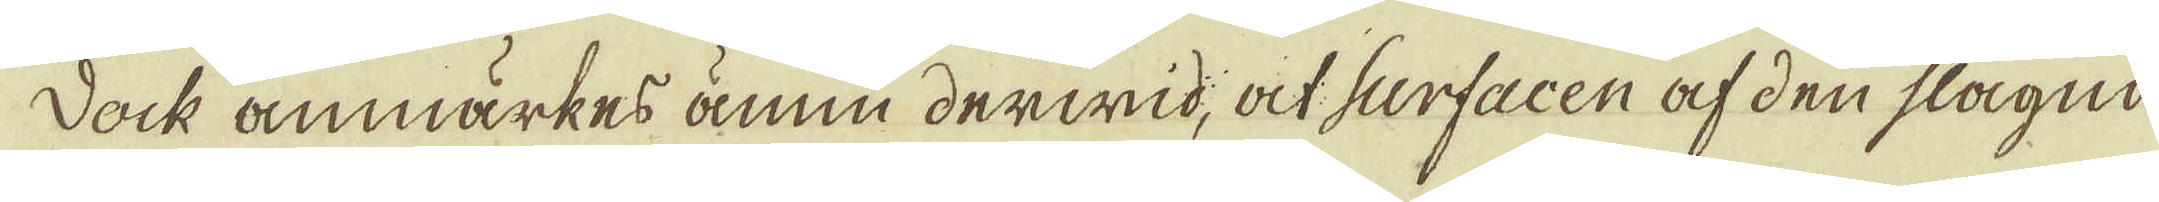Dock anmärkes ännu derwid, at surfacen af den slagna
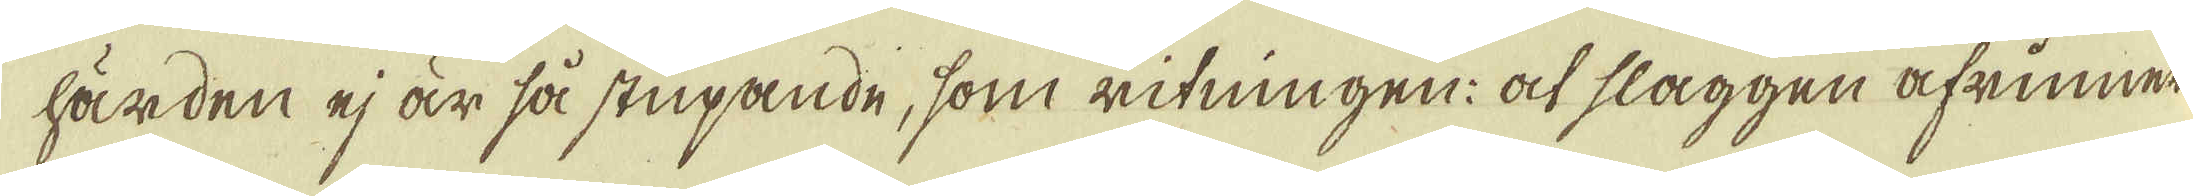härden ej är så stupande, som ritningen: at slaggen afrinner
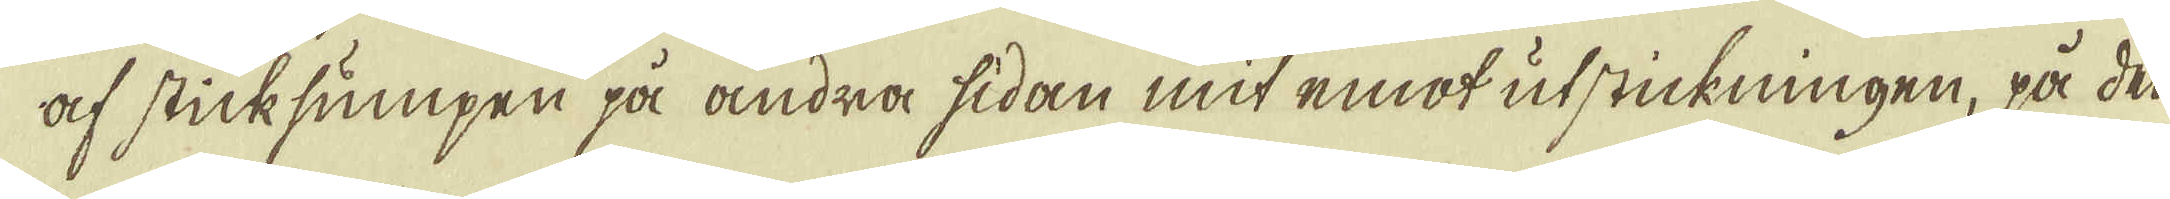af sticksumpen på andra sidan mit emot utstickningen, på den
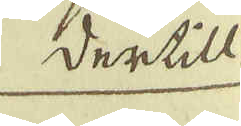Dertill
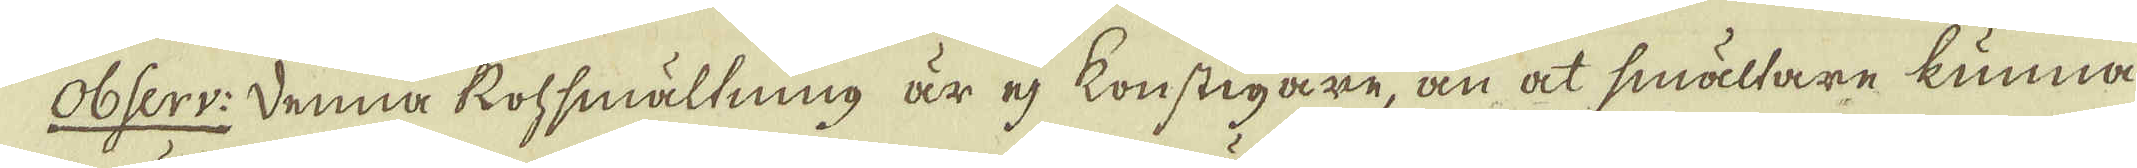Obserr: Denna Rohsmältning är ej konstigare, än at smältare kunna
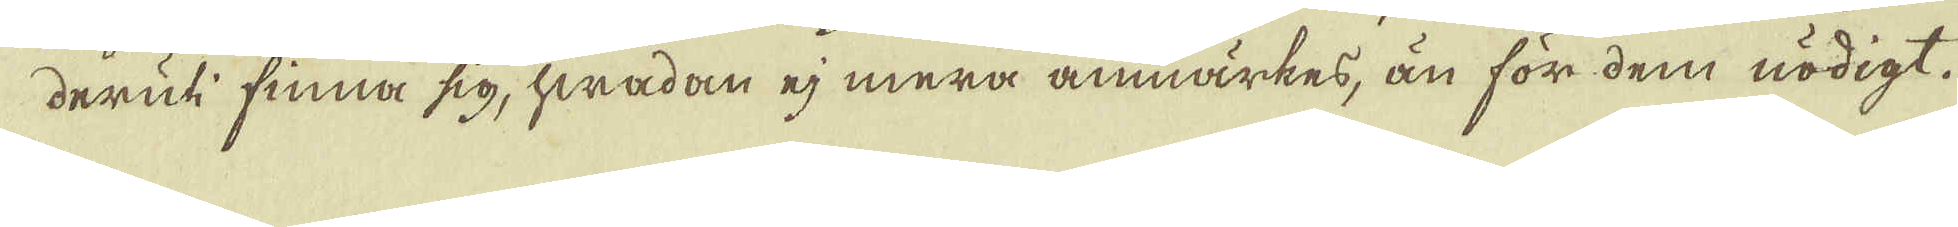deruti finna sig, hwadan ej mera anmärkes, än för dem nödigt.
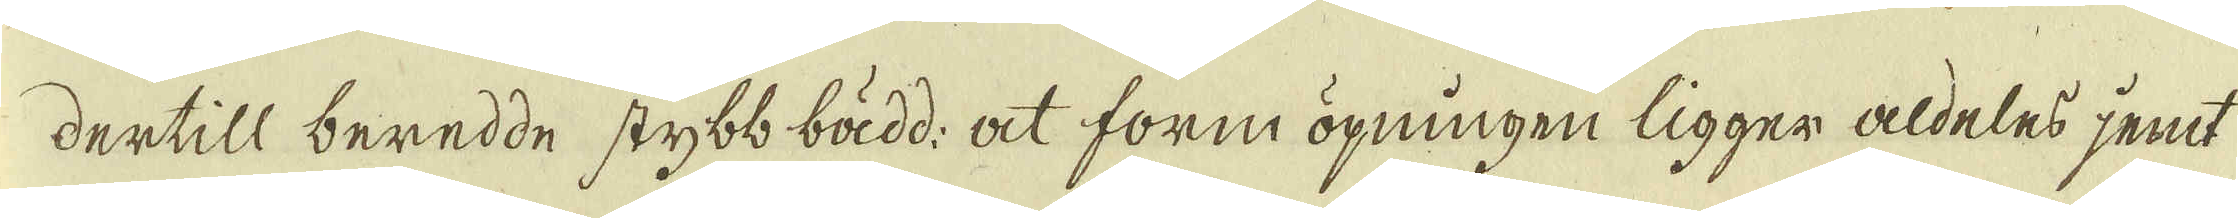dertill beredde stybb bädd: at form öpningen ligger aldeles jemt
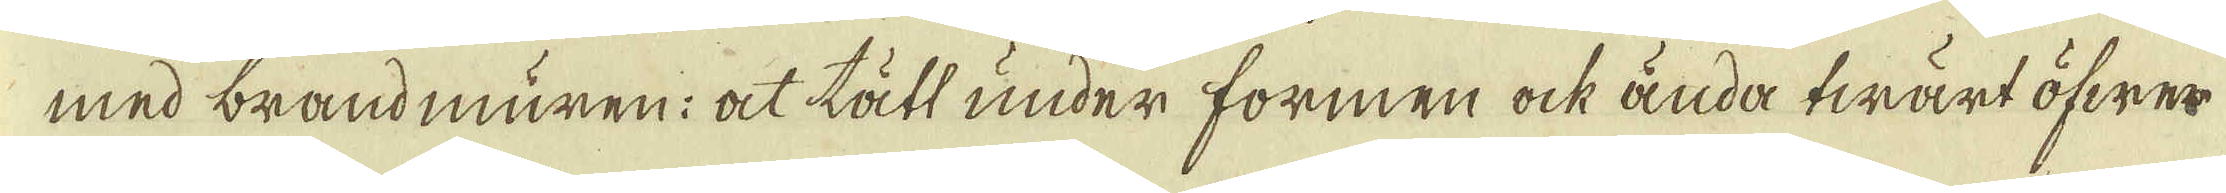med brandmuren: at tätt under formen ock ända twärt öfwer
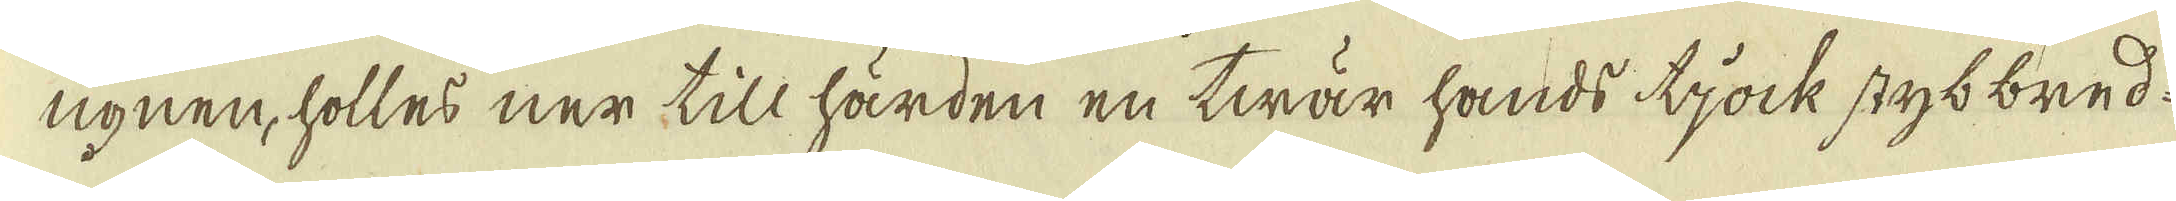ugnen, hölles ner till härden en twär hands tjock stybbred.
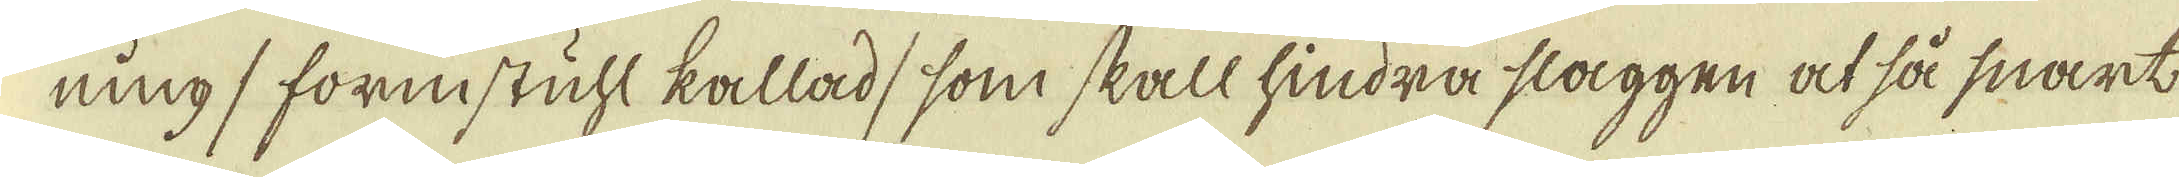ning / fornstuhl kallad, som skall hindra slaggen at så snart
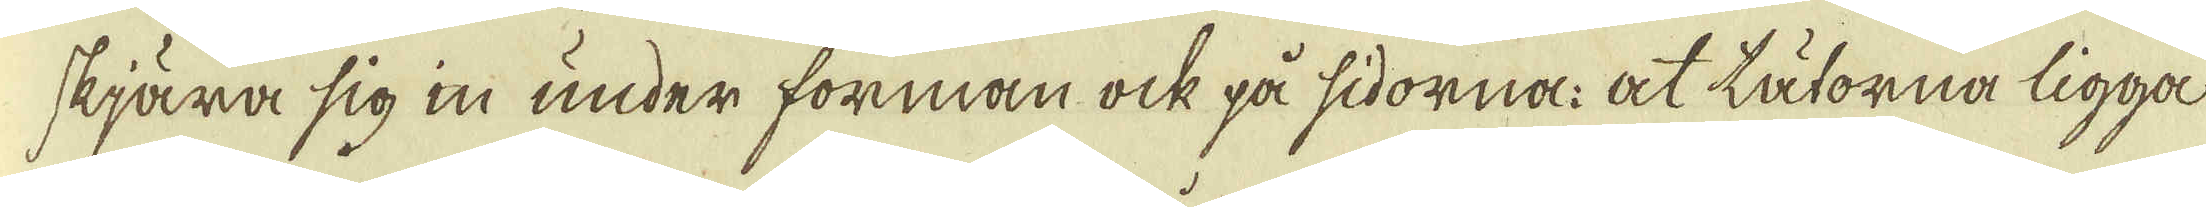skjära sig in under forman ock på sidorna: at tätorna ligga
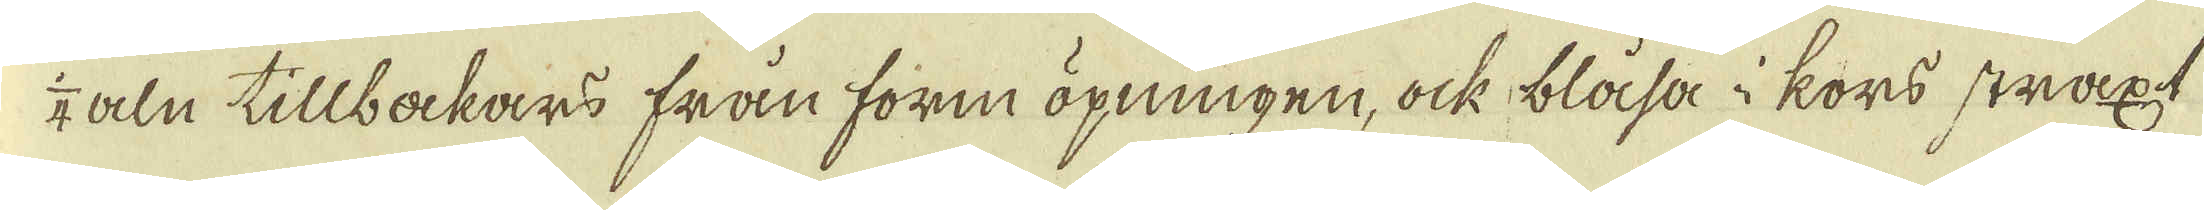4 aln tillbakars från form öpningen, ock blåsa i kors straxt
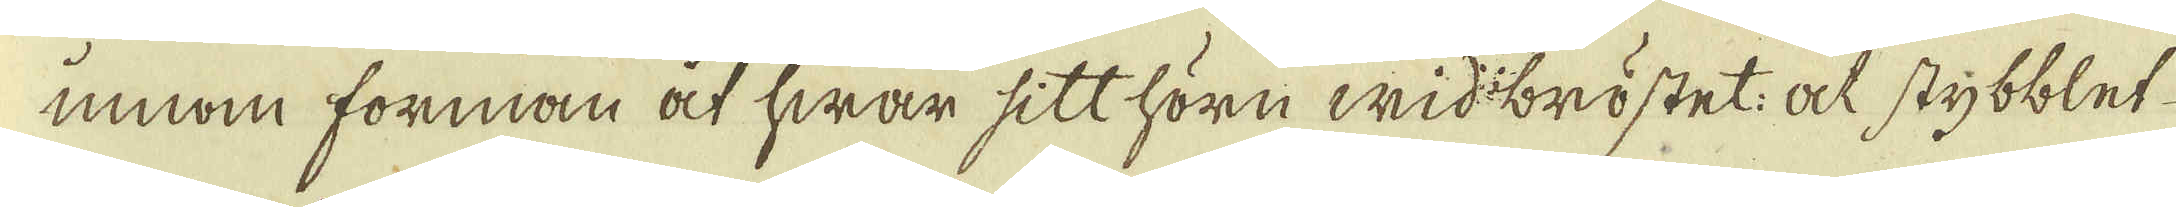innom forman at hwar sitt hörn wid bröstet: at stybblet
